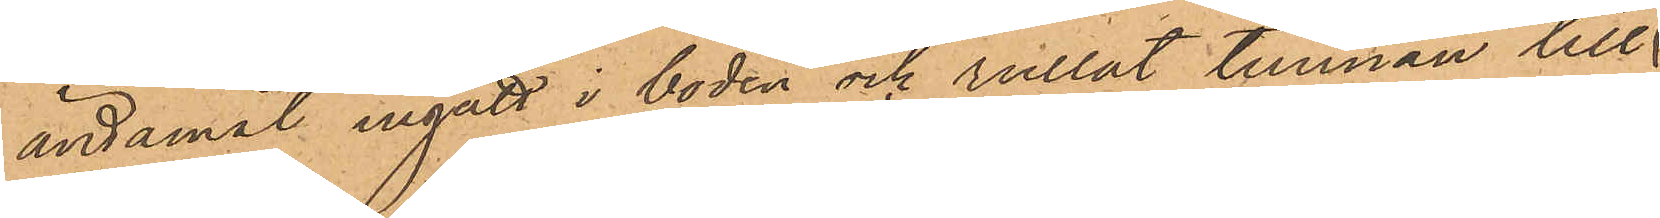ändamål ingått i boden och rullat tunnan till
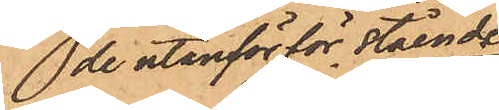de utanför för stående
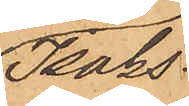Isaks¬
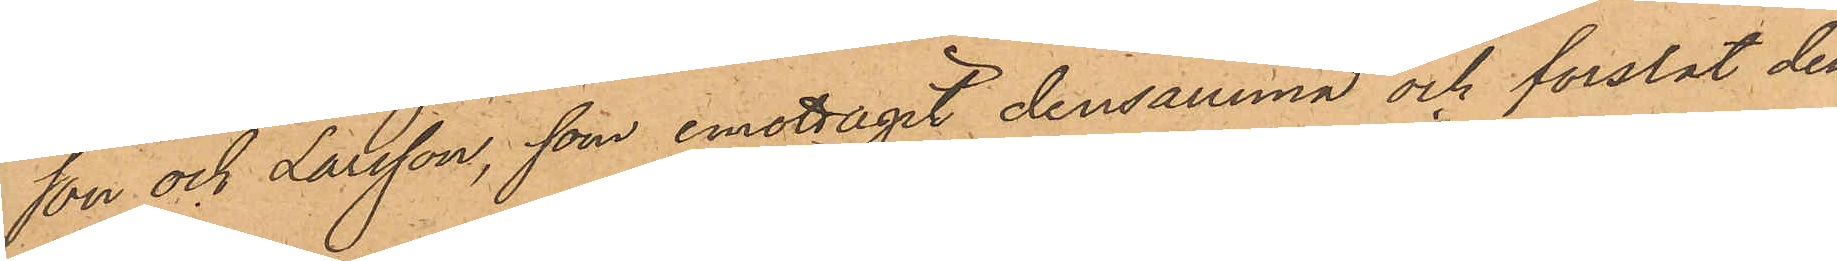son och Larsson, som emottagit densamma och forslat den
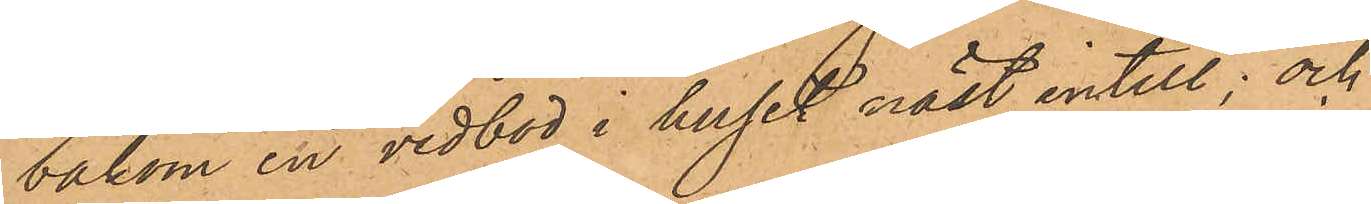bakom en vedbod i huset näst intill; och
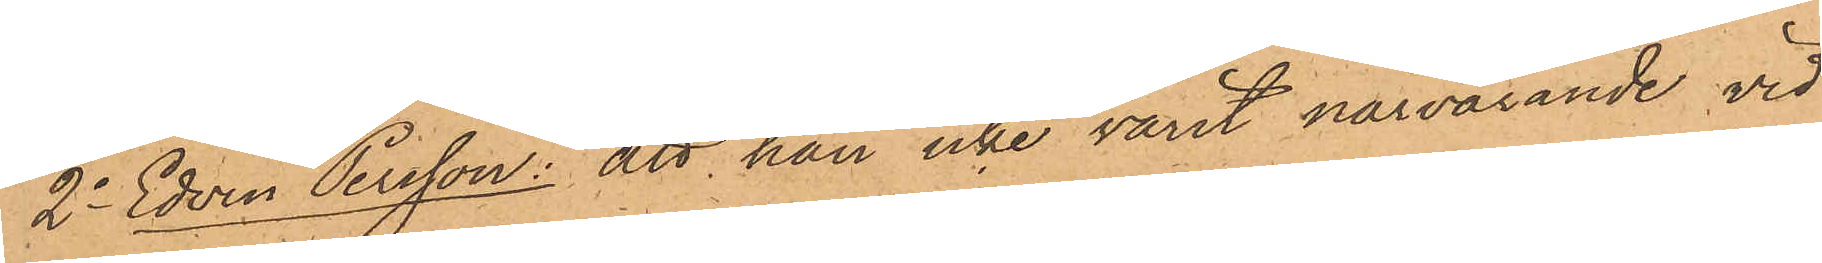2o Edvin Persson: att han icke varit närvarande vid
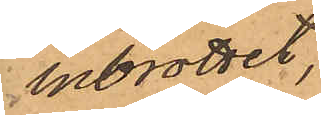inbrottet,
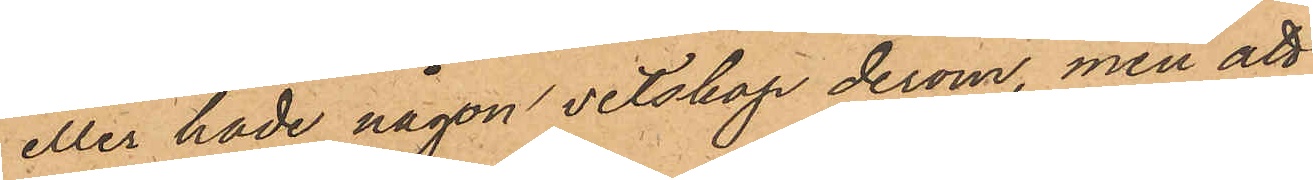eller hade någon vetskap derom, men att
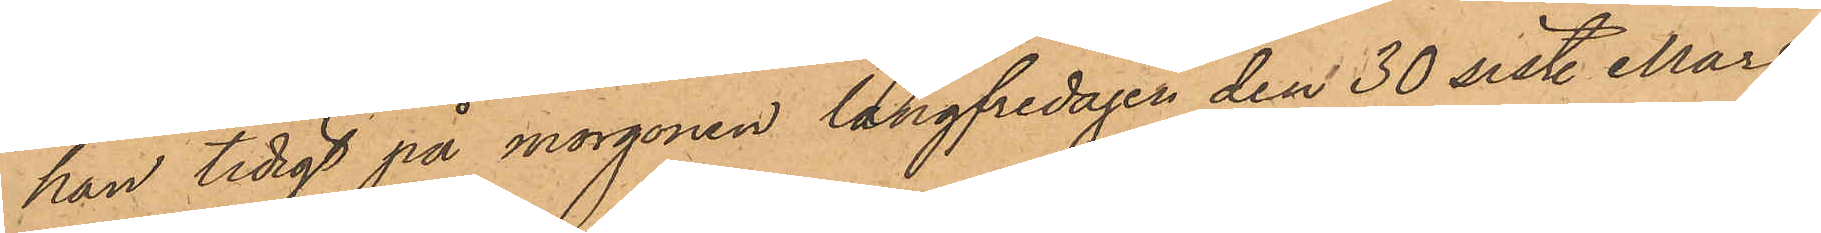han tidigt på morgonen långfredagen den 30 sist. Mars
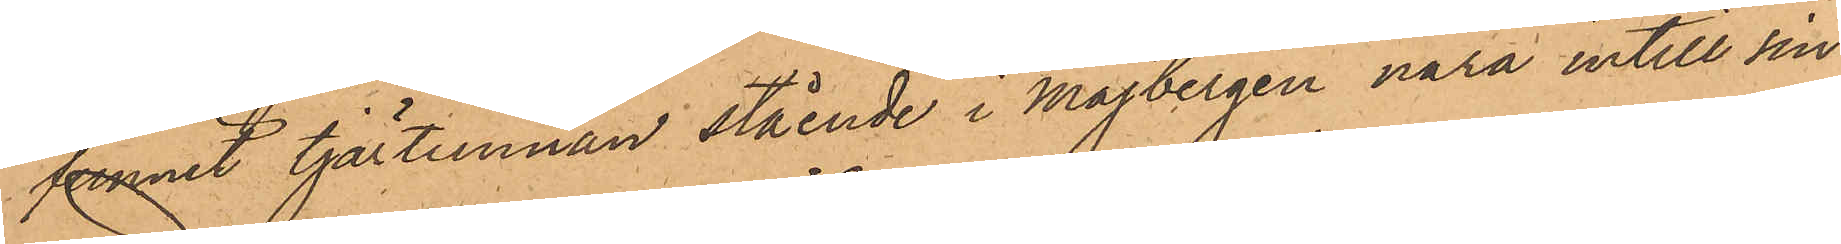funnit tjärtunnan stående i Majbergen nära intill sin
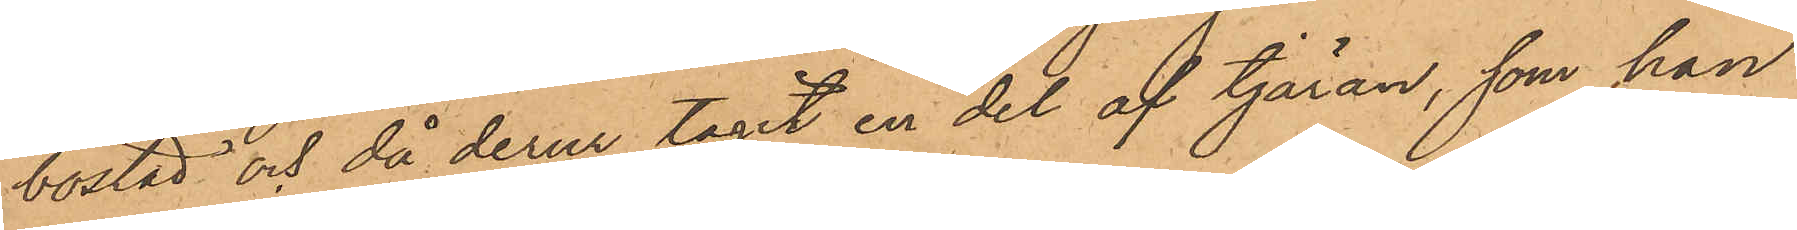bostad och då derur tagit en del af tjäran, som han
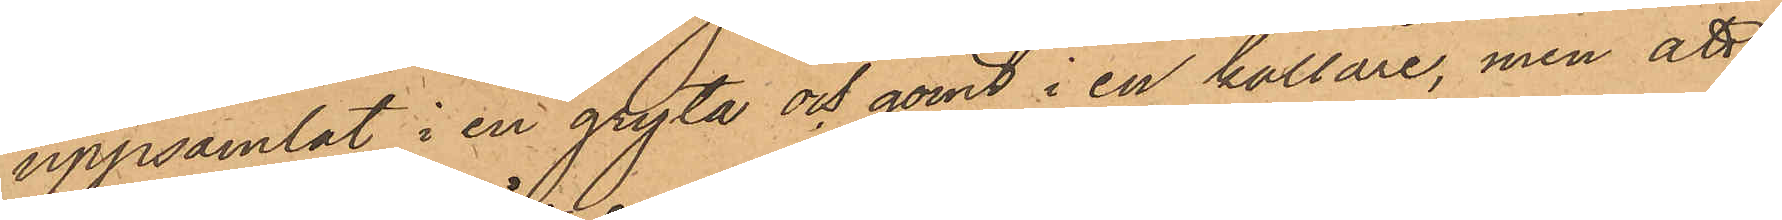uppsamlat i en gryta och gömt i en källare, men att
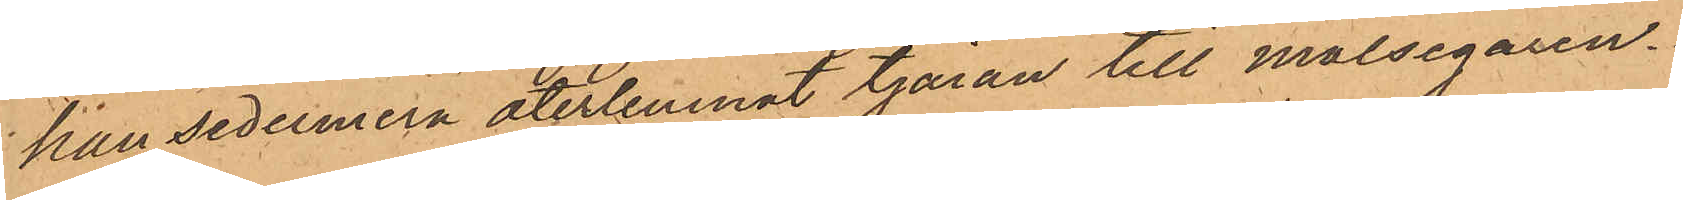han sedermera återlemnat tjäran till målsegaren.
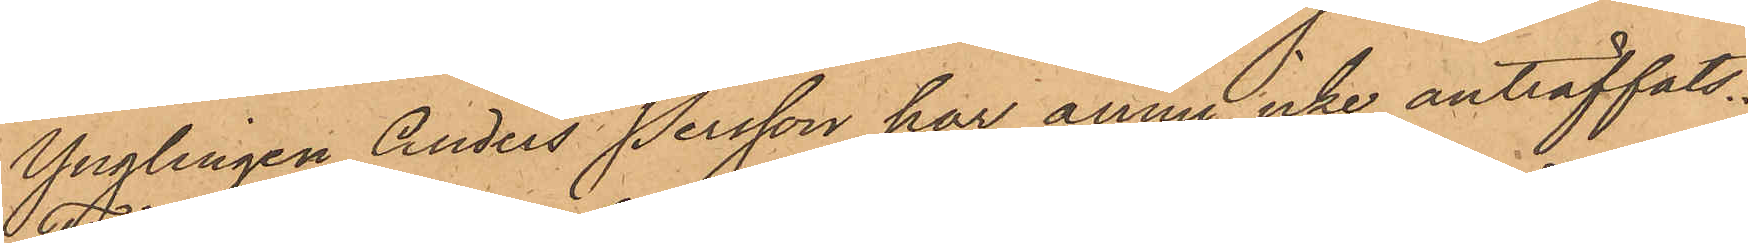Ynglingen Anders Persson har ännu icke anträffats.
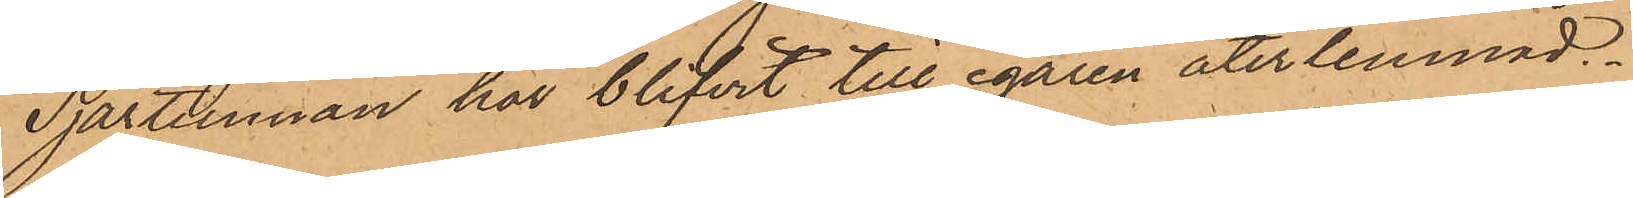Tjärtunnan har blifvit till egaren återlemnad.
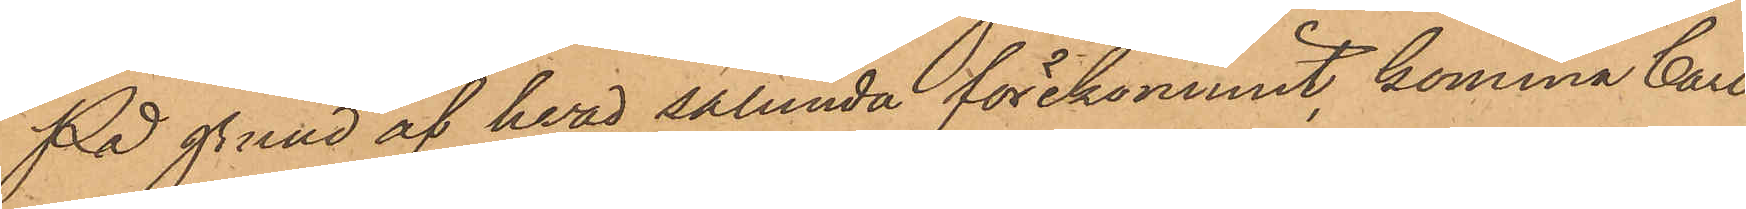På grund af hvad sålunda förekommit, komma Carl
